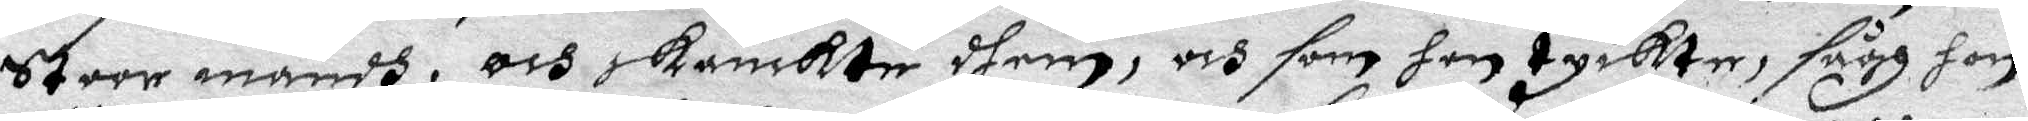Stoor mandh, och skänkte dhem, och som hon tyckter, sågh hon
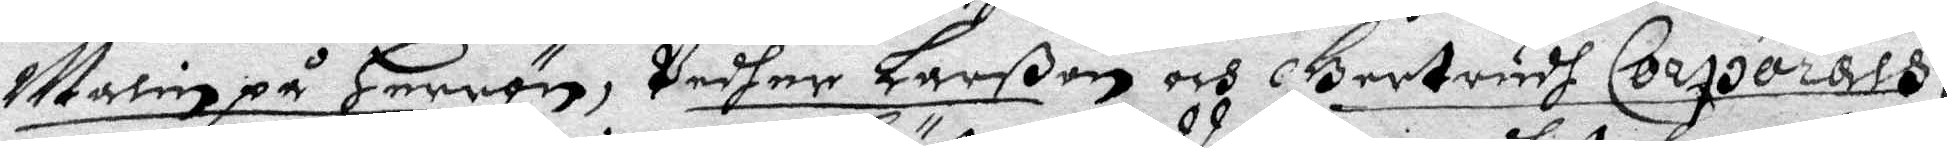Malin på Herrön, Pedher Larßon och Gertrudh Corporals,
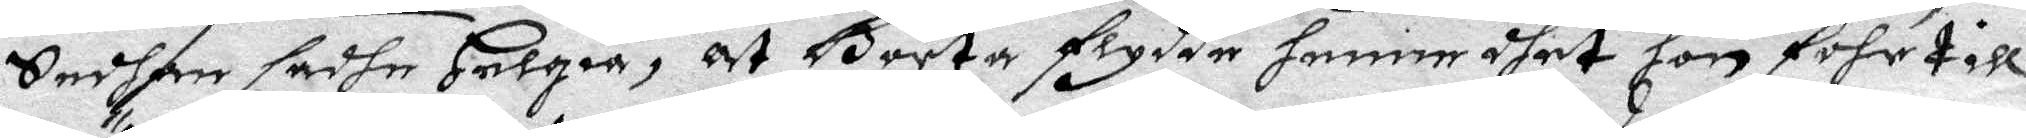Sedhan sadhe Helgia, at Börta flydde henne dhet hon fohr till
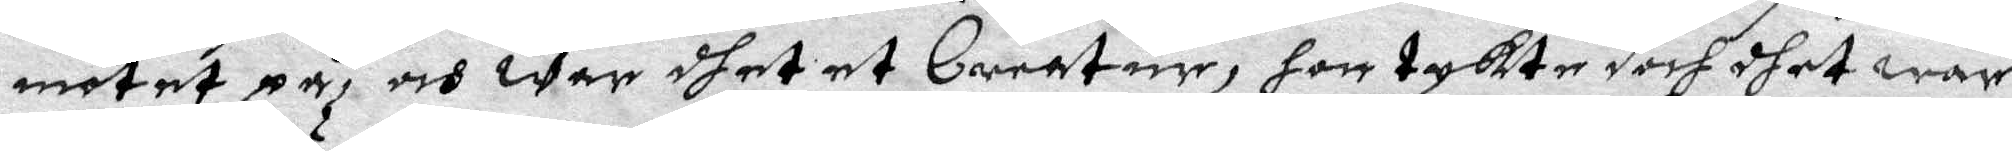mötet på, och war dhet et Creatur, hon tyckte doch dhet war
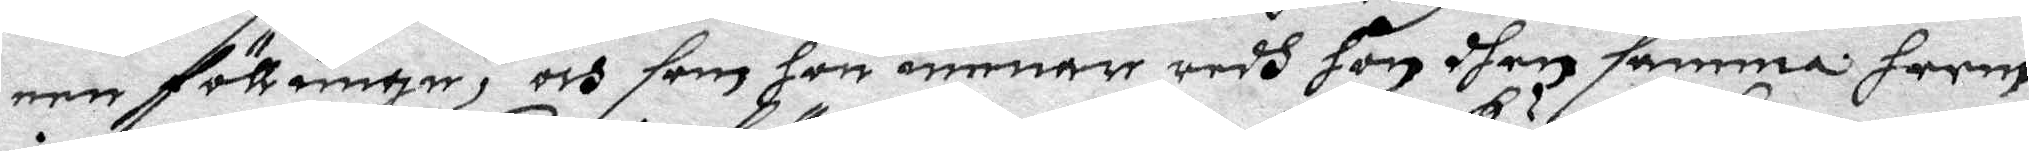een föllunge, och som hon menar redh hon dhen samma herre
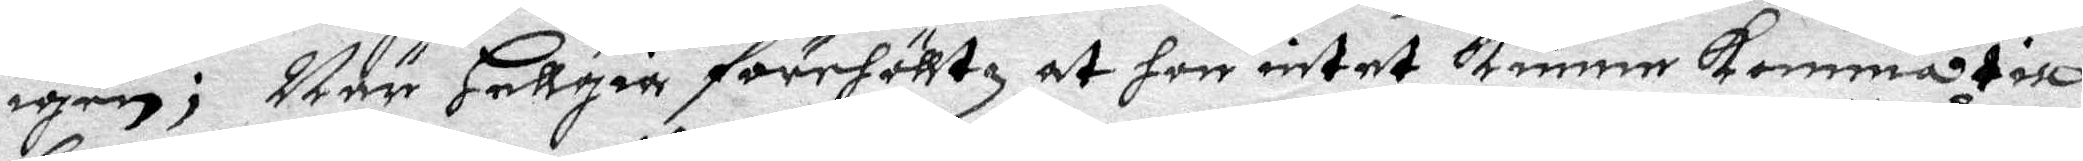igen; När Hällgir förehöltz at hon intet kunne komma till
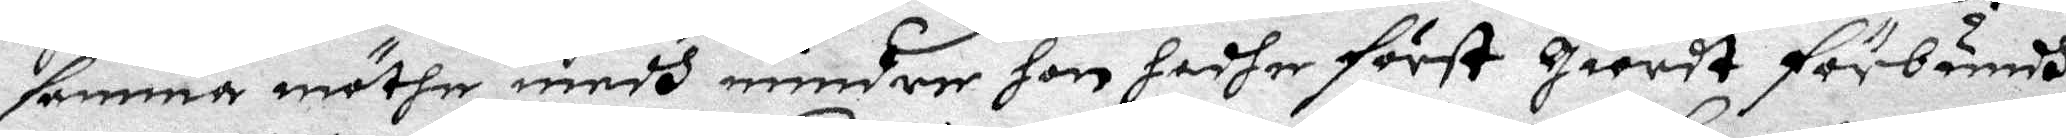samma möthe medh mindree hon hadher först giordt förbundh
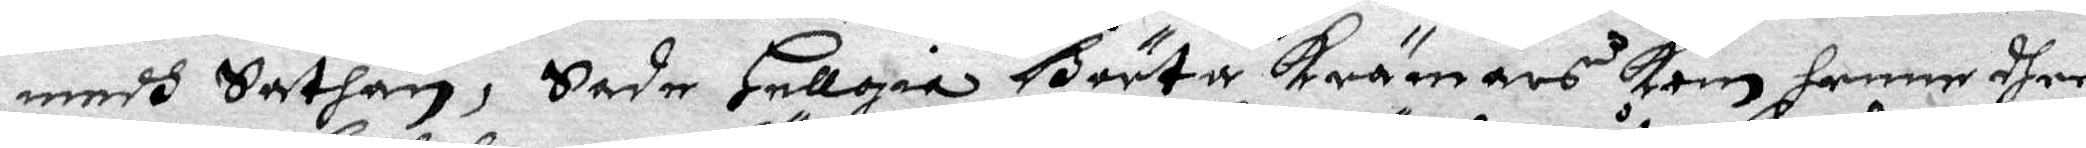medh Sathan; Sade Hellgia Börta krämars kom henne dher
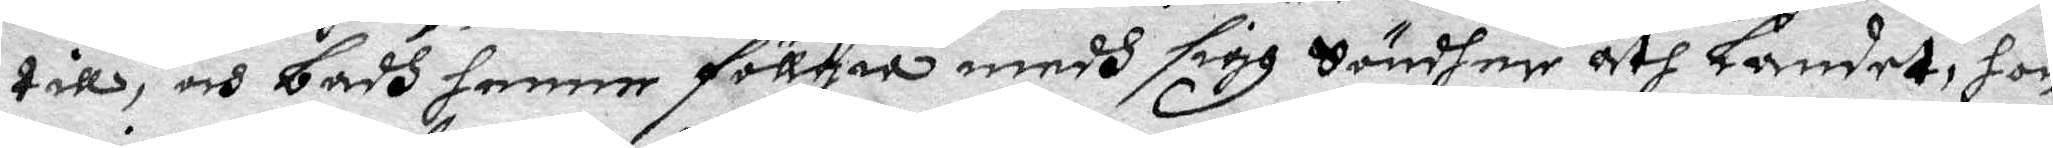till, och badh henne föllia medh sigh Söndher åth Landet, hon
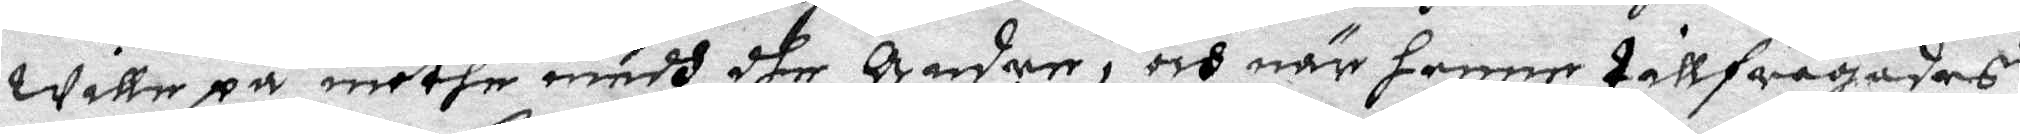wille på möthe medh dhe Andre, och när henne tallfrågades
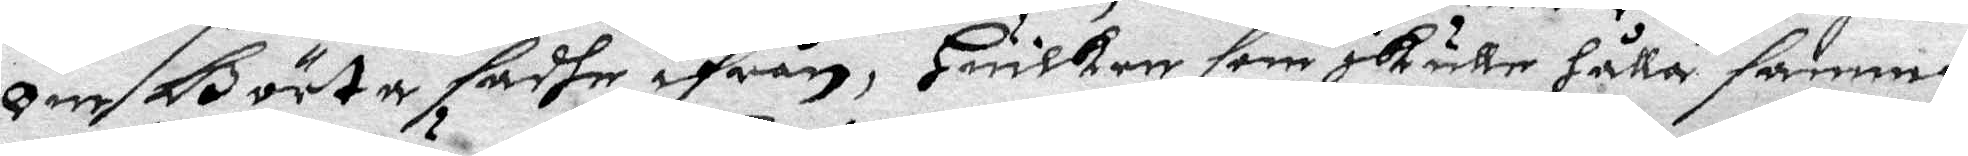Om Börta sadhe ifrån, Hwilken som skulle hålla samma
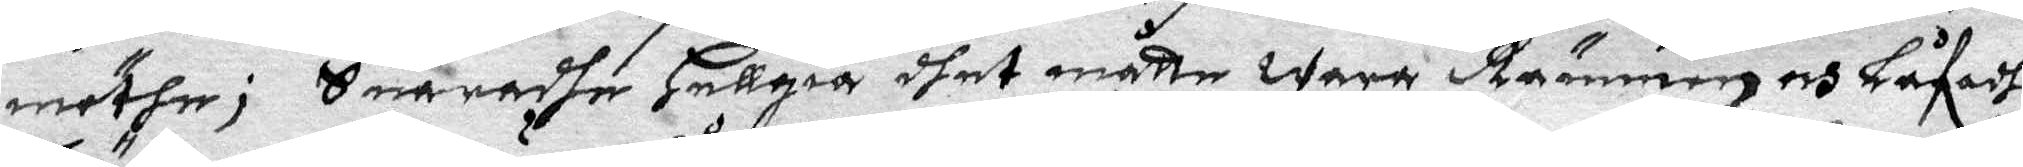möthe; Swaradhe Hellgia dhet måtte wara Rämmen och Låfadhe
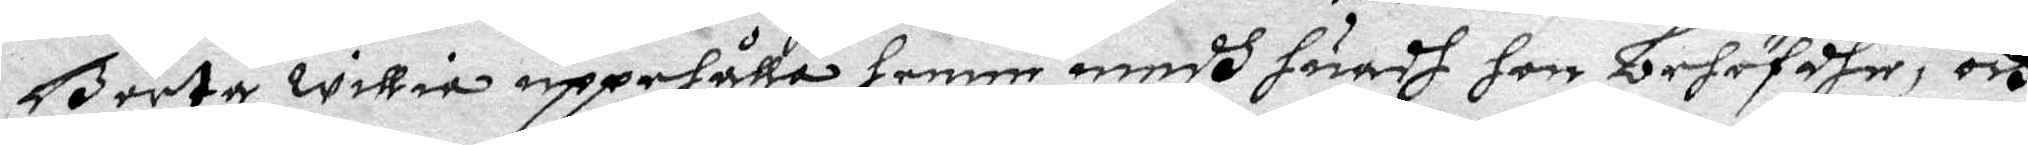Börta willia uppehålla henne medh huadh hon behöfdher, och
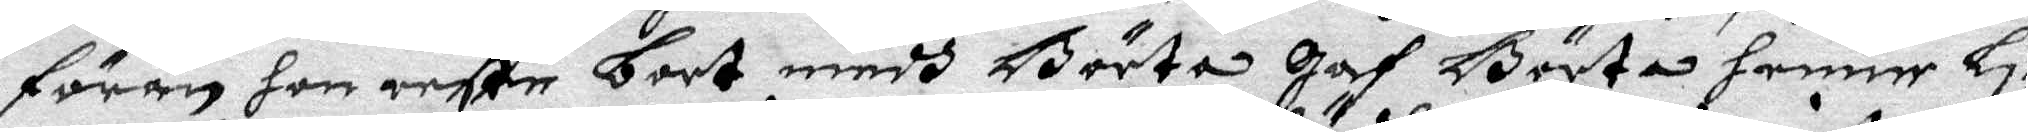förän hon reste bort medh Börta Gaf Börta henne Li¬
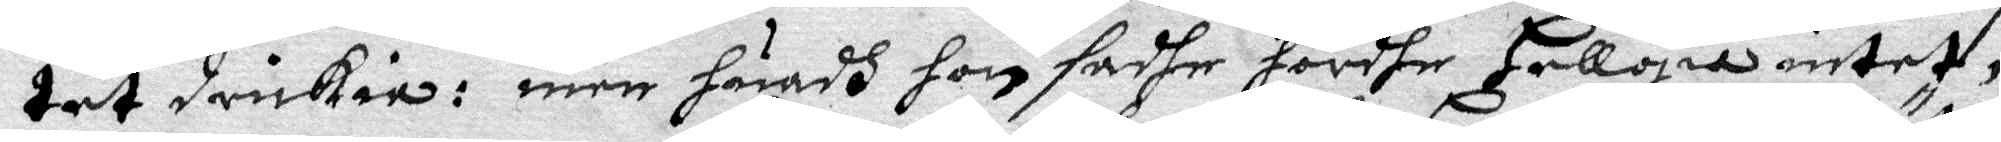tet drickia: men huadh hon sadhe hördhe Hellgia intet,
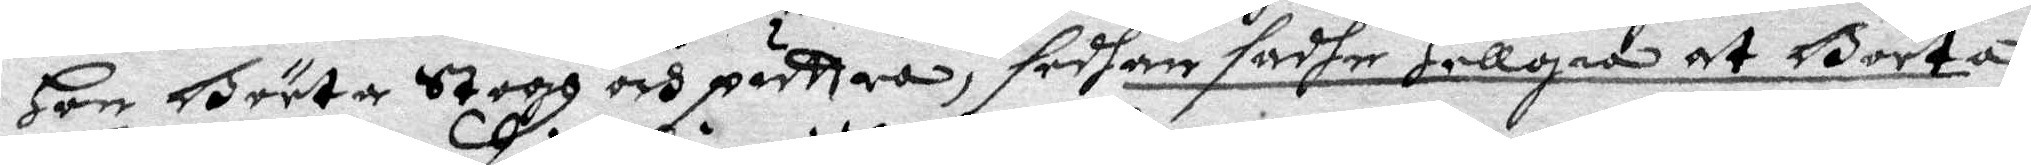Hon Börta Stogh och pädttra, sedhan sadhe Hellgia at Börta
